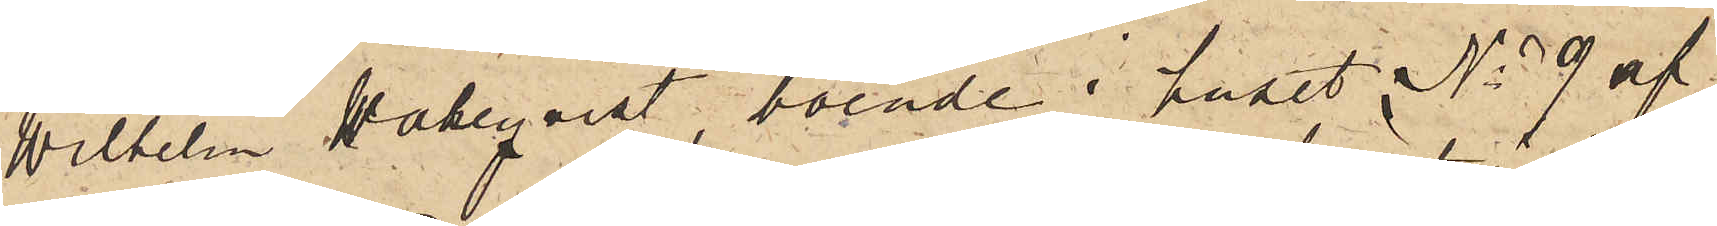Wilhelm Wahlqvist, boende i huset No 9 af
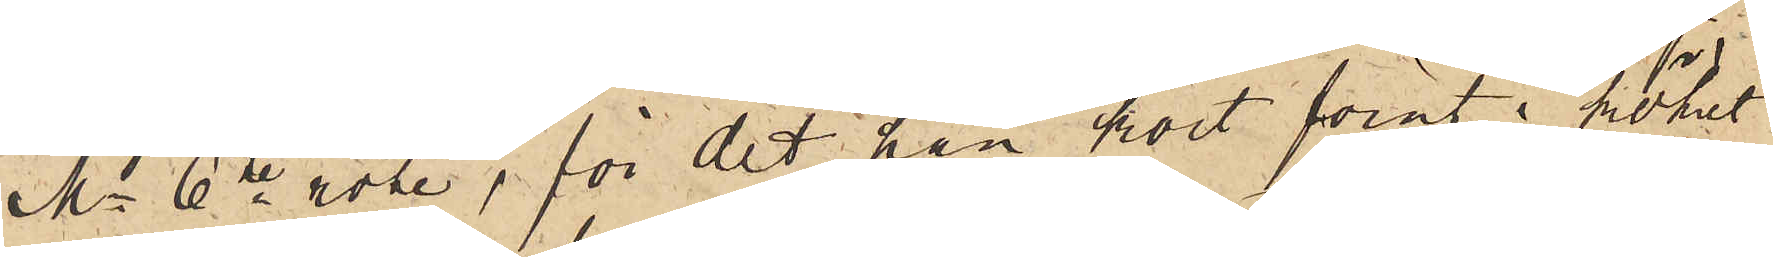Ms 6te rote, för det han kort förut i köket
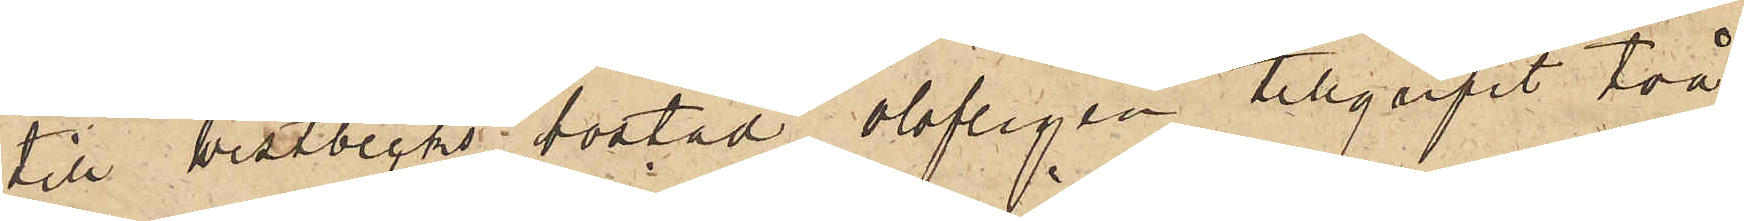till Westbecks bostad olofligen tillgripit två
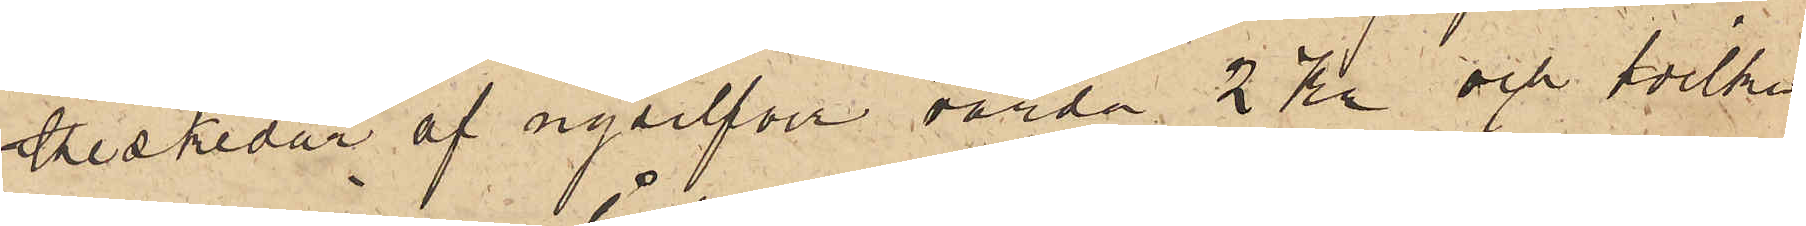teskedar af nysilfver, värda 2 Kr och hvilka
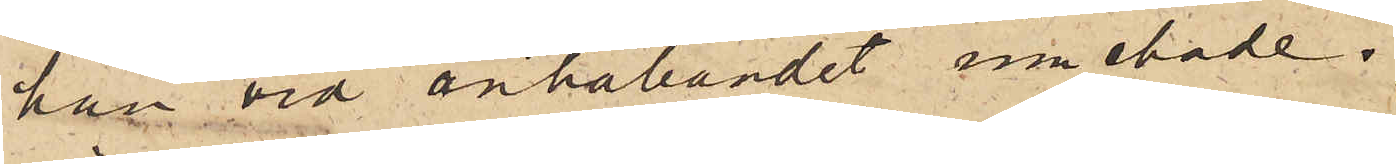han vid anhållandet innehade.
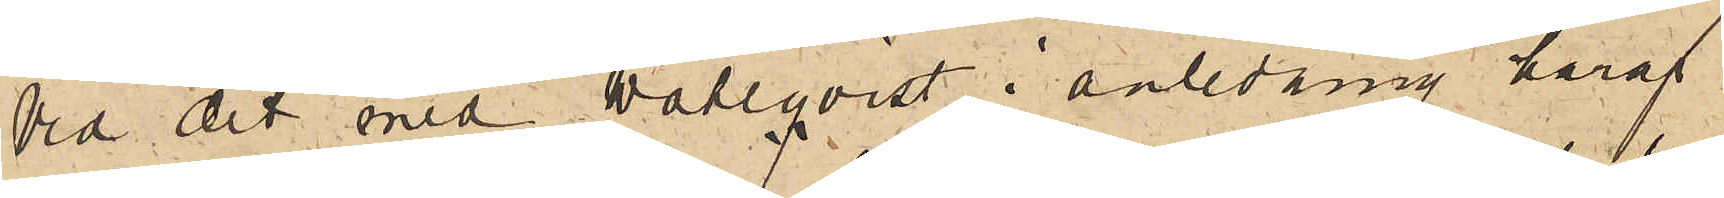Vid det med Wahlqvist i anledning häraf
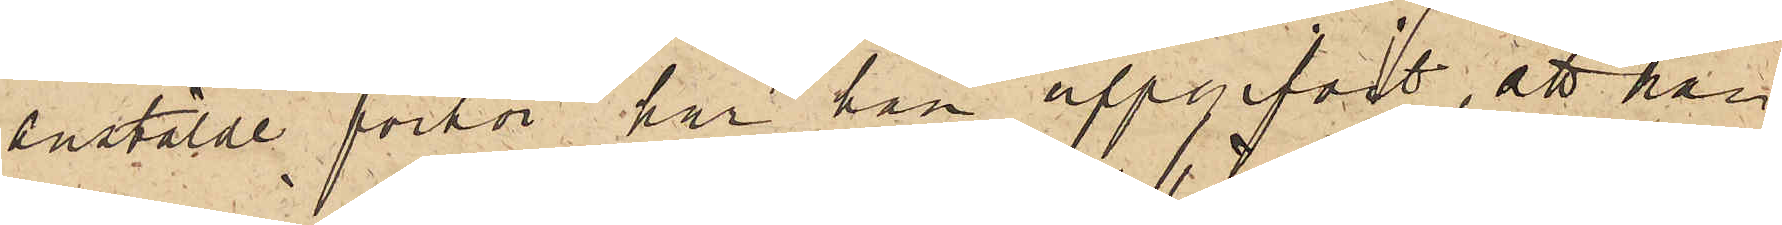anstälde förhör har han uppgifvit, att han
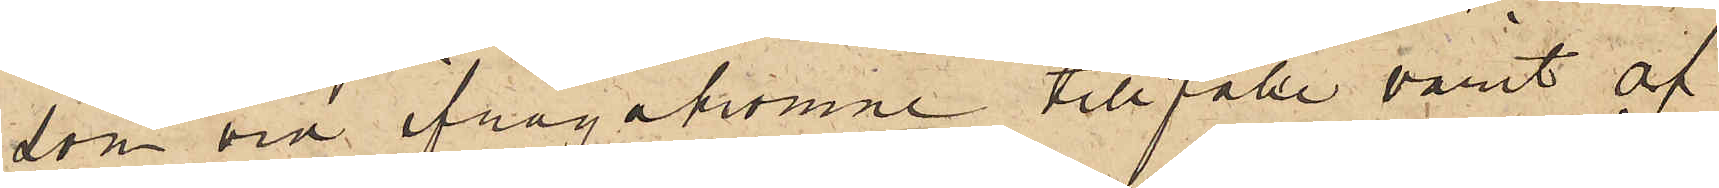som vid ifrågakomne tillfälle varit af
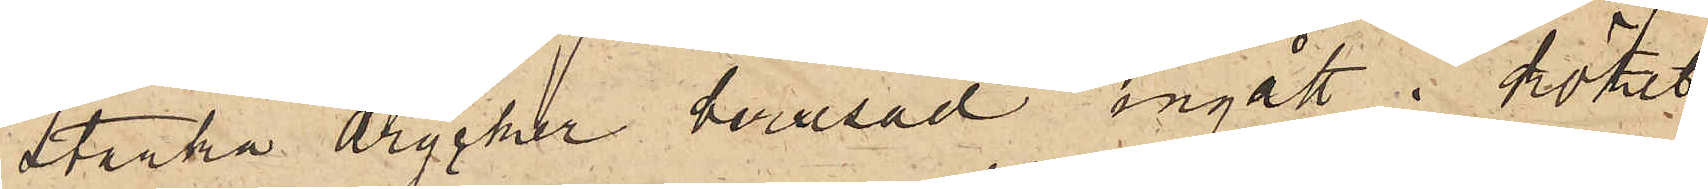starka drycker berusad ingått i köket
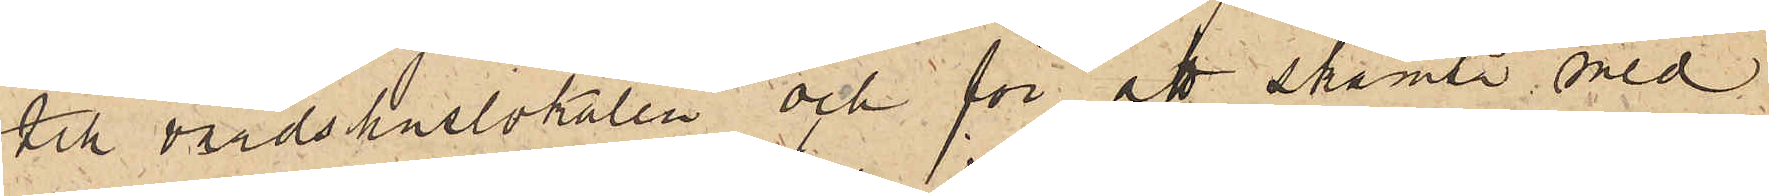till värdshuslokalen och för att skämta med
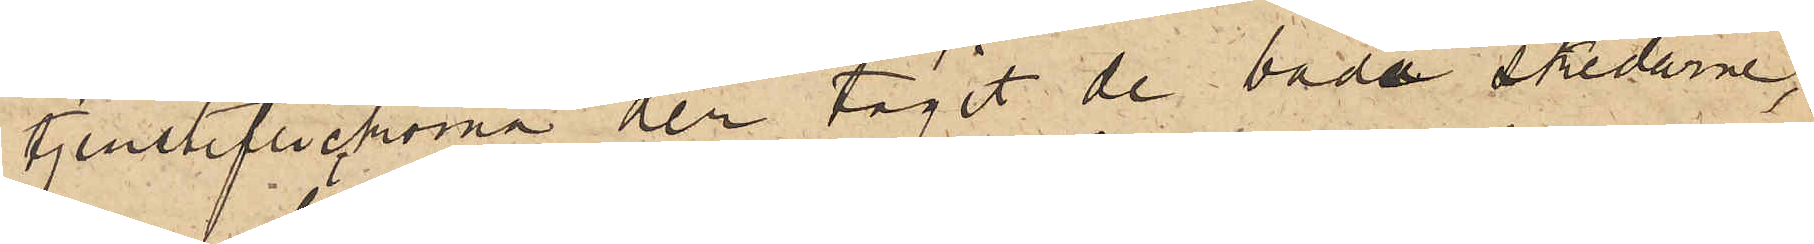tjensteflickorna der tagit de båda skedarne,
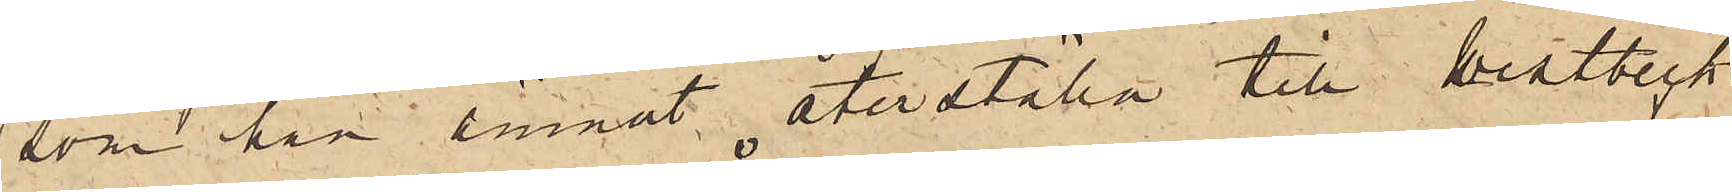som han ämnat återställa till Westbeck
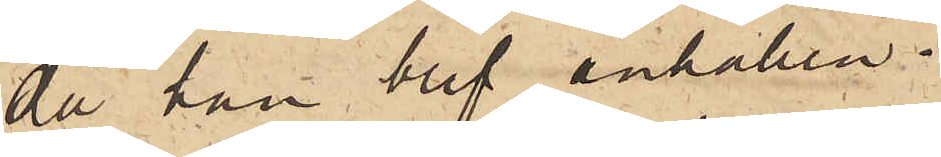då han blef anhållen.
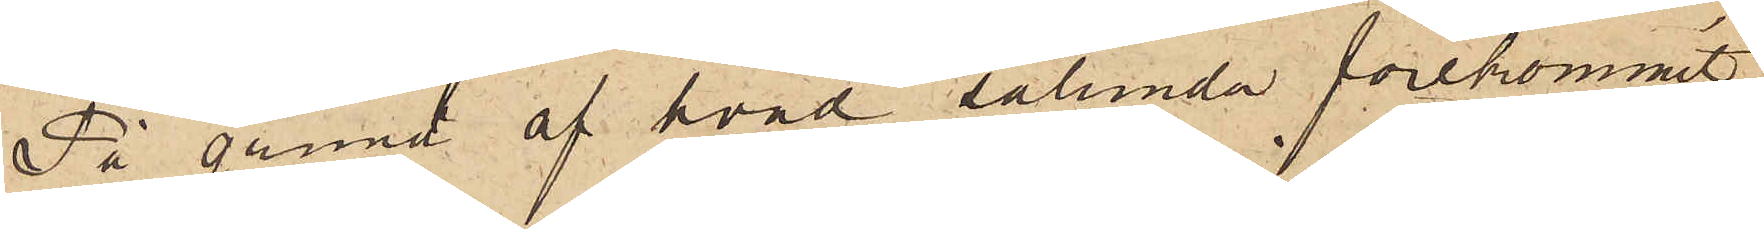På grund af hvad sålunda förekommit,
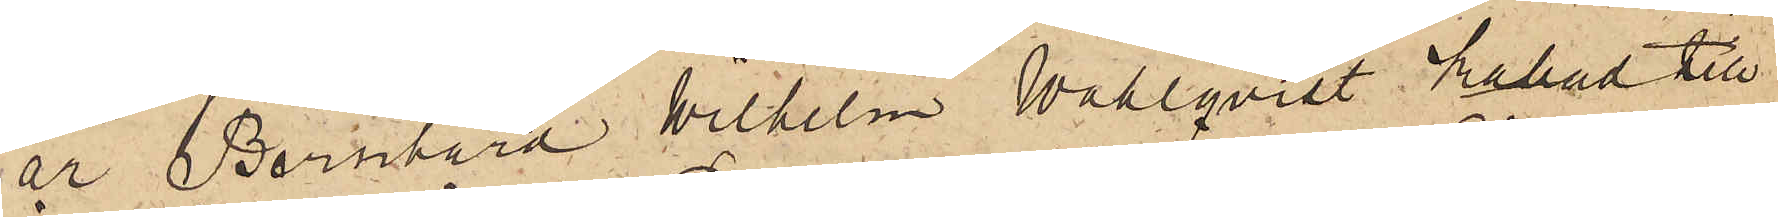är Bernhard Wilhelm Wahlqvist kallad till
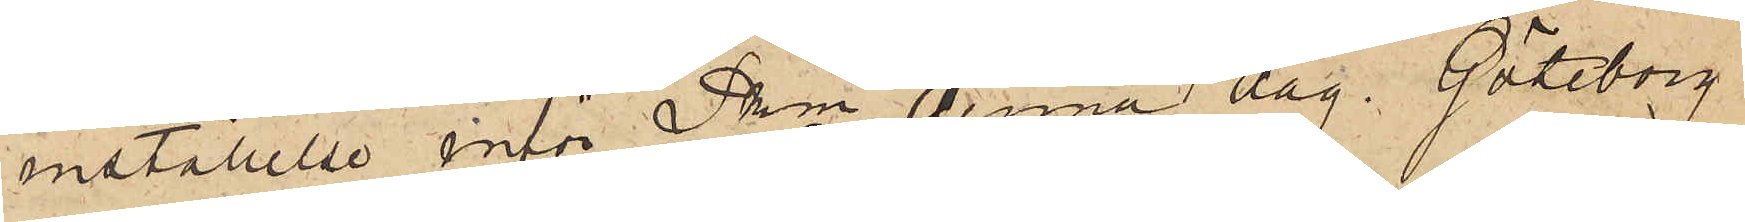inställelse inför Pkn denna dag. Göteborg
